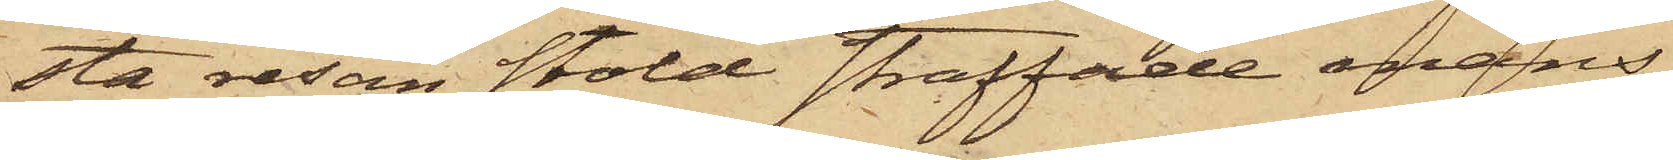sta resan stöld straffade mans¬
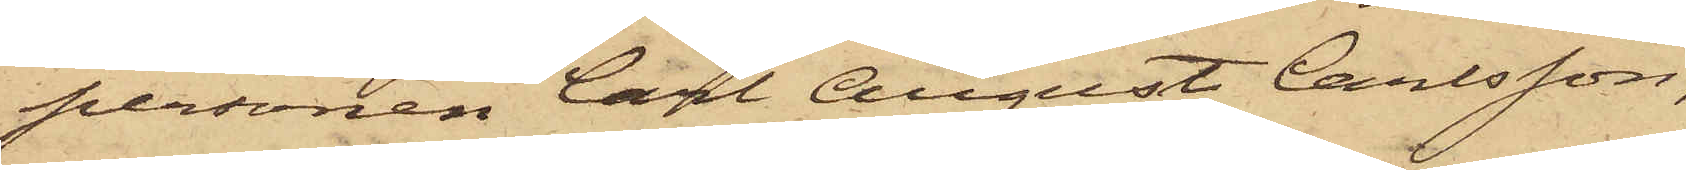personen Carl August Carlsson,
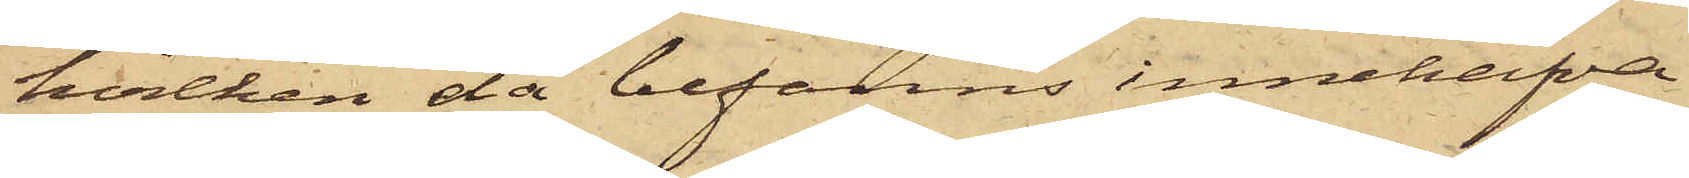hvilken då befanns innehafva
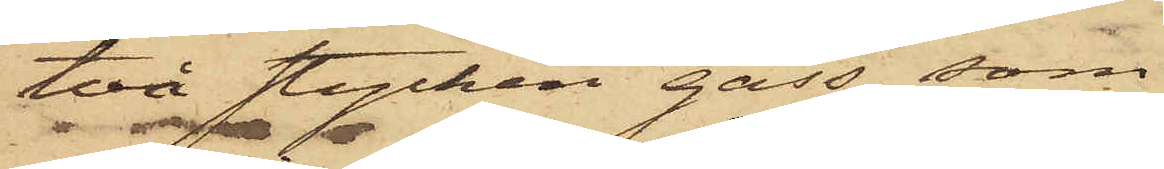två stycken gäss, som
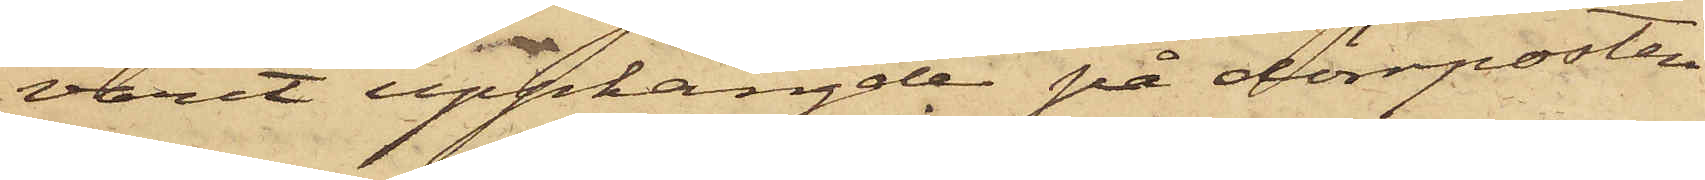varit upphängde på dörrposten
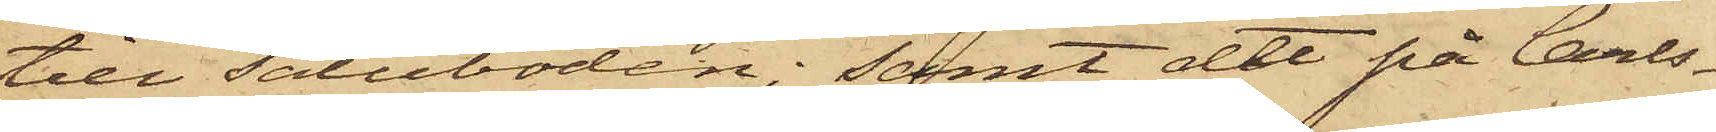till saluboden; samt att på Carls¬
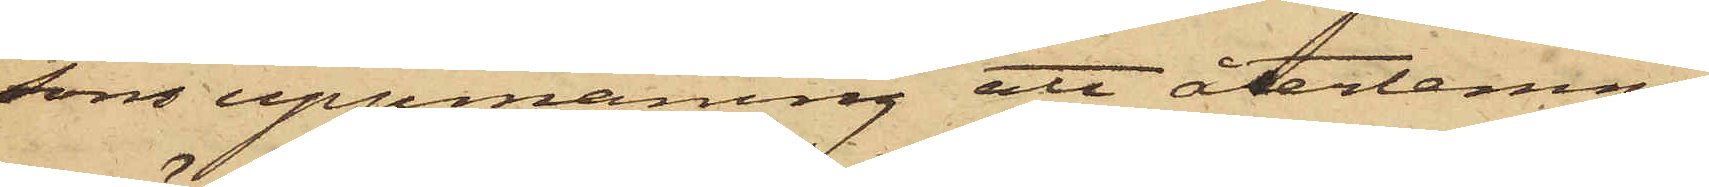sons uppmaning att återlemna
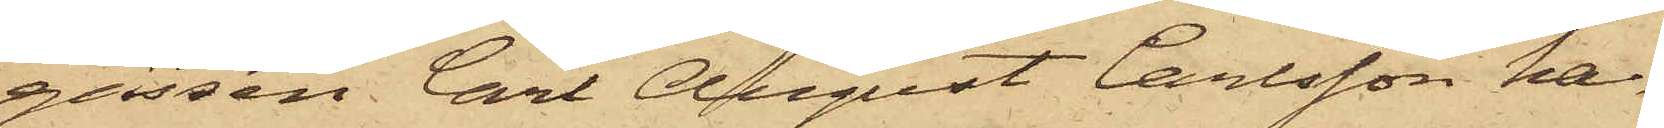gässen Carl August Carlsson ha¬
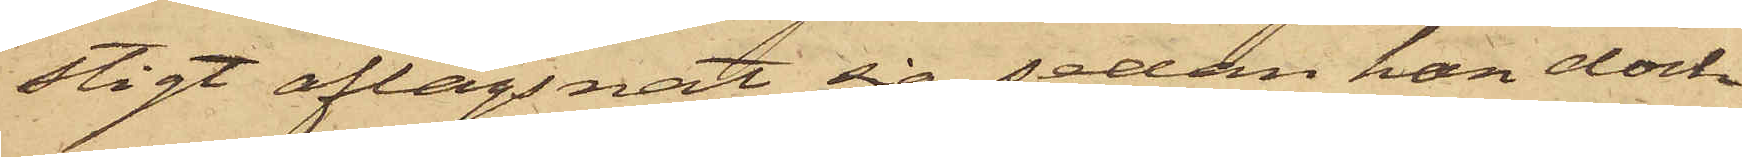stigt aflägsnat sig, sedan han dock
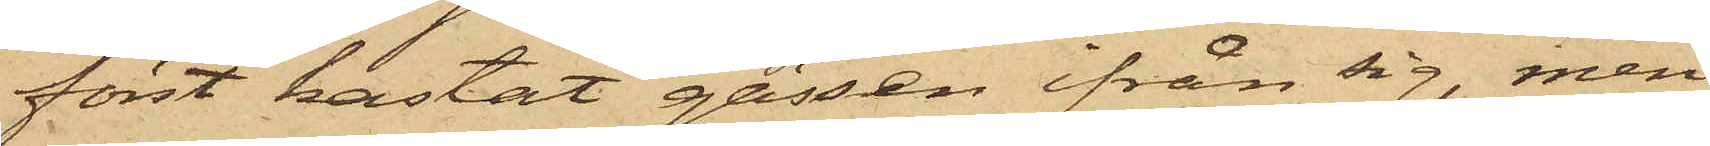först kastat gässen ifrån sig, men
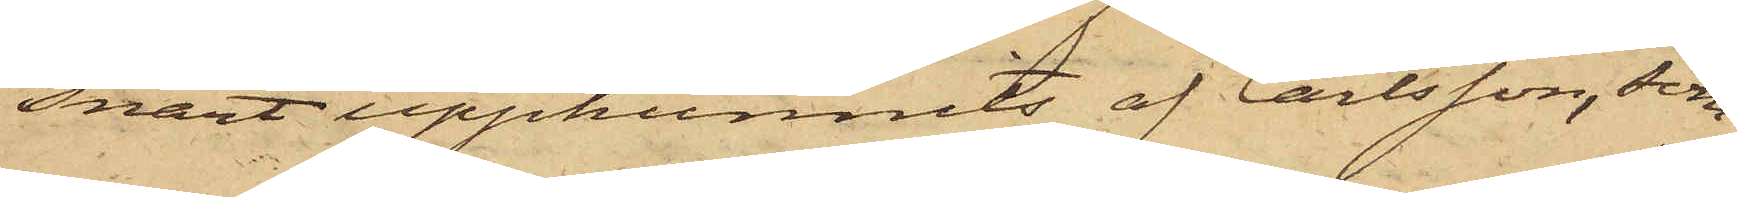snart upphunnits af Carlsson, som
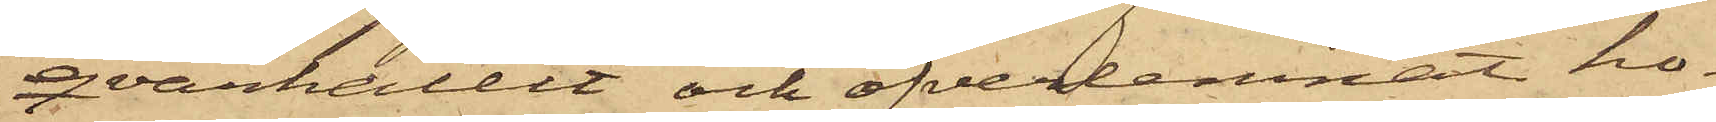qvarhållit och öfverlemnat ho¬
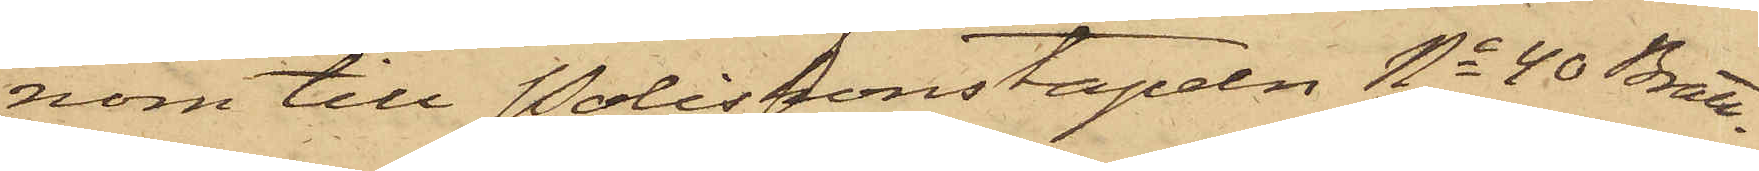nom till Poliskonstapeln No 40 Bratt¬
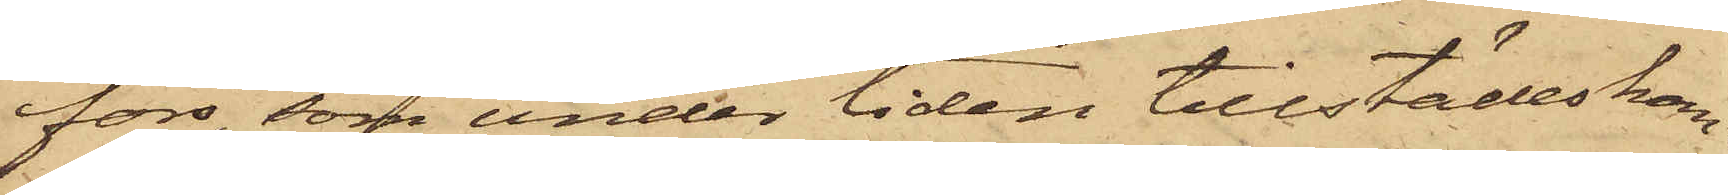fors, som under tiden tillstädeskom¬
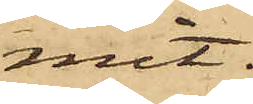mit.
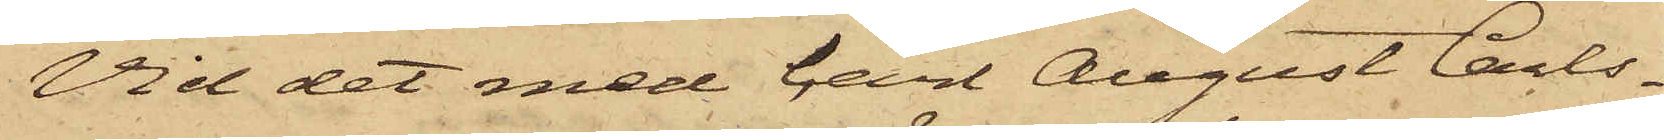Vid det med Carl August Carls¬
